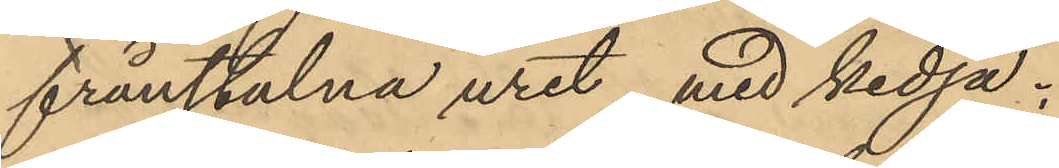frånstulna uret med kedja.
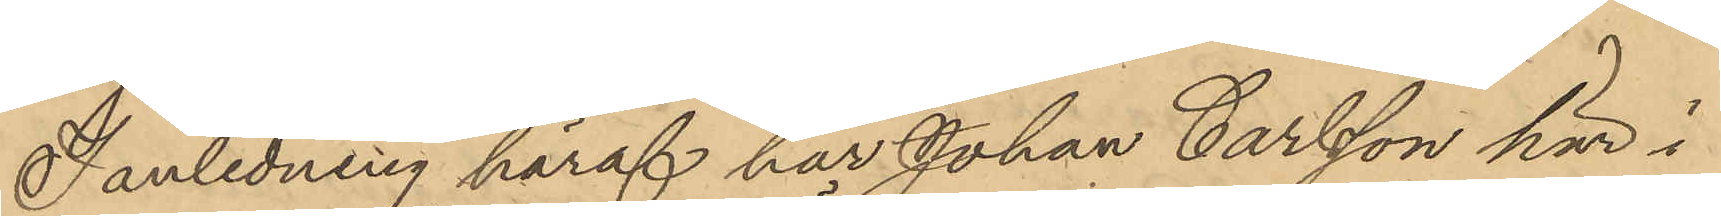I anledning häraf har Johan Carlsson här i
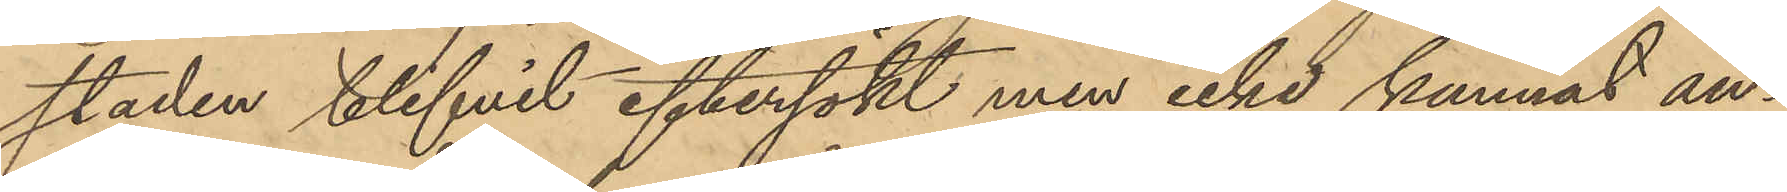staden blifvit eftersökt men icke kunnat an¬
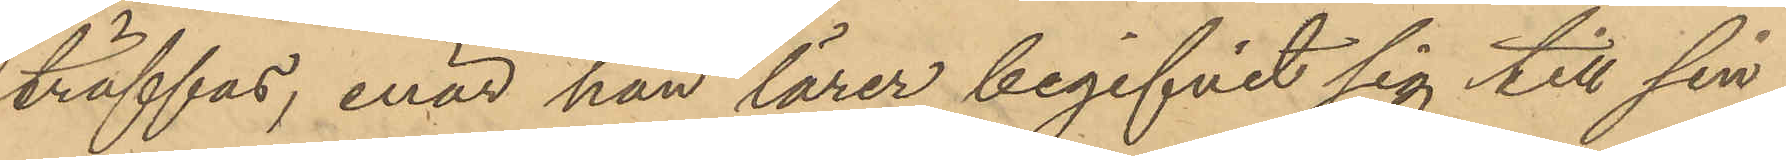träffas, enär han lärer begifvit sig till sin
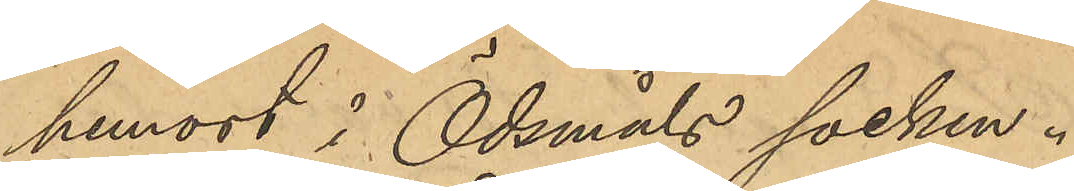hemort i Ödsmåls socken.
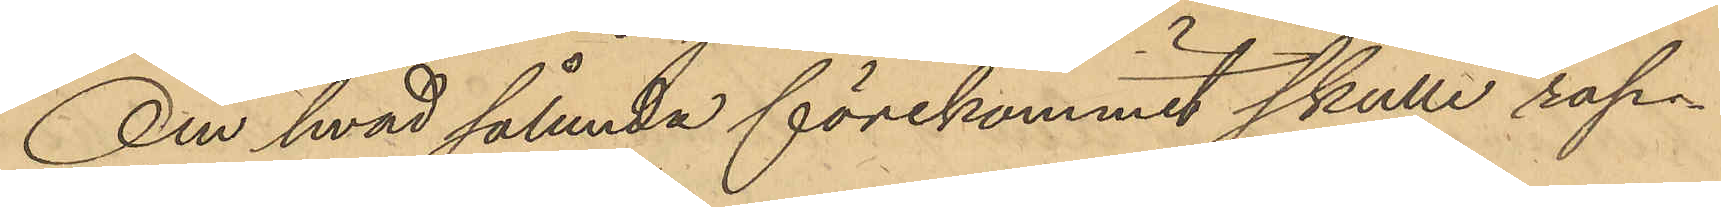Om hvad sålunda förekommit skulle rap¬
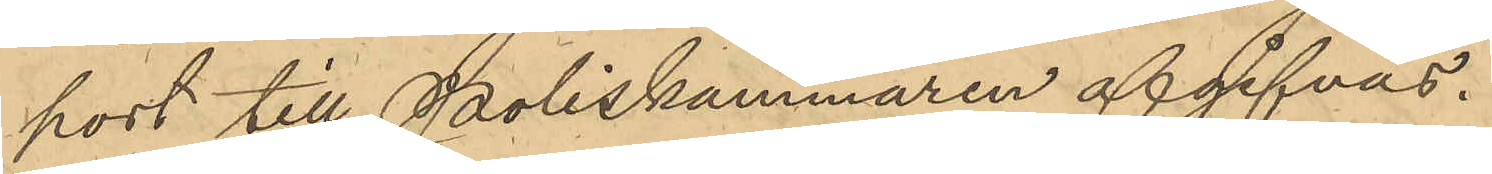port till Poliskammaren afgifvas.
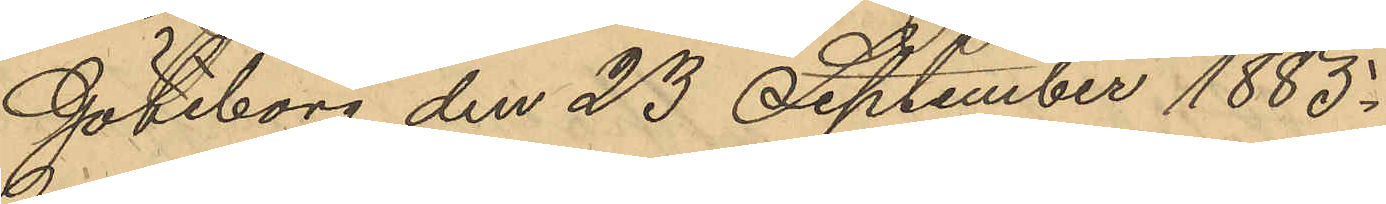Göteborg den 23 September 1885.
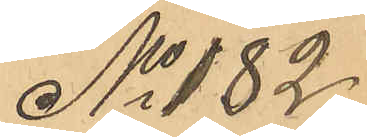No 182
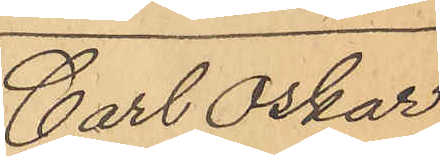Carl Oskar
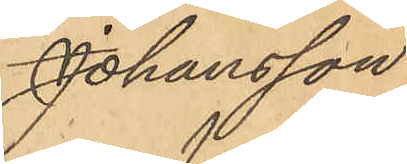Johansson
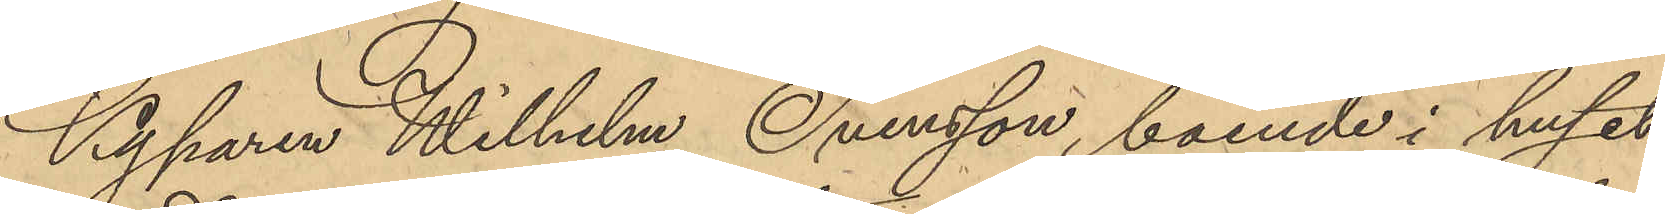Kyparen Wilhelm Svensson, boende i huset
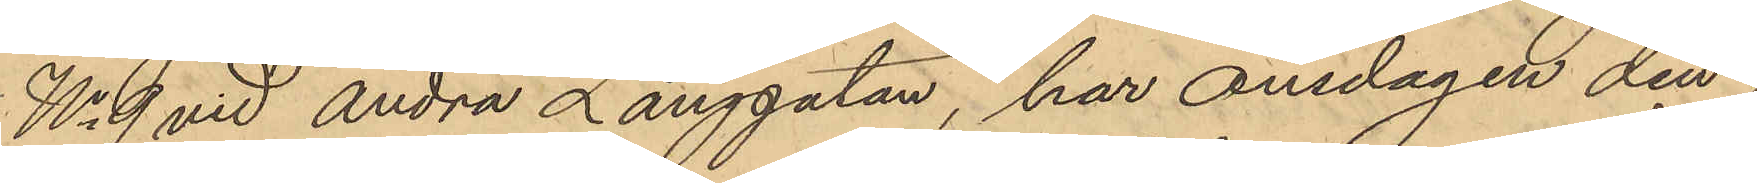No 9 vid Andra Långgatan, har onsdagen den i
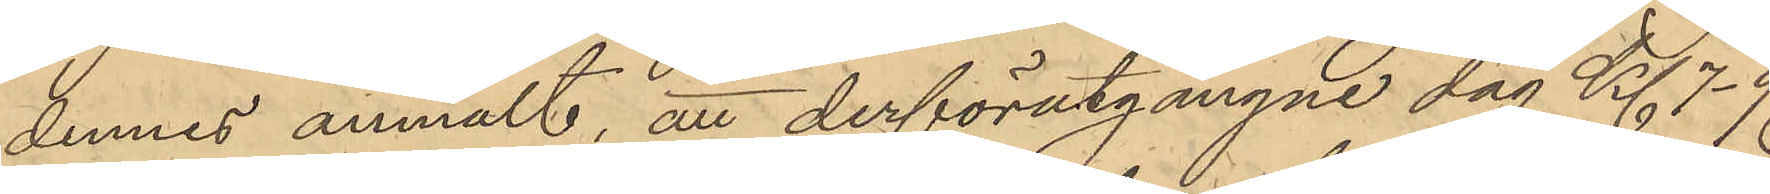dennes anmält, att derförutgångne dag Kl 7-9
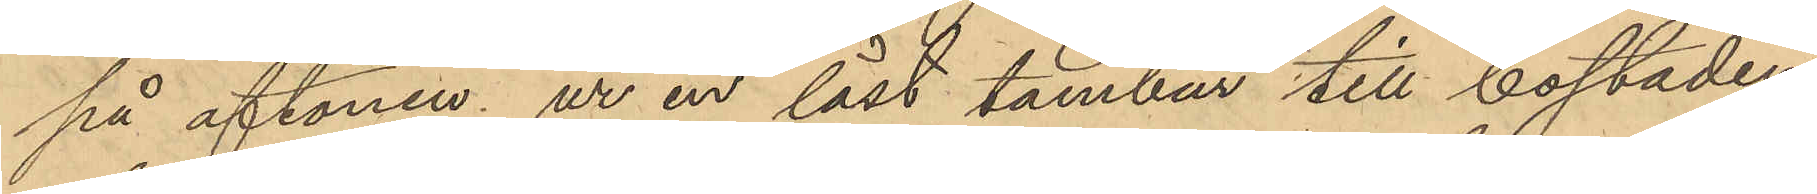på aftonen ur en låst tambur till bostaden
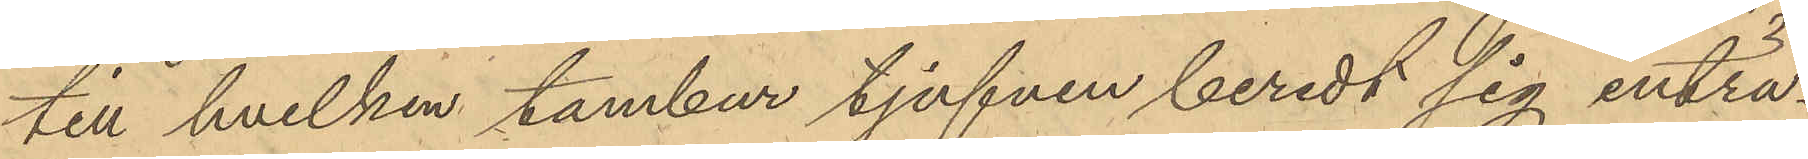till hvilken tambur tjufven beredt sig inträ¬
